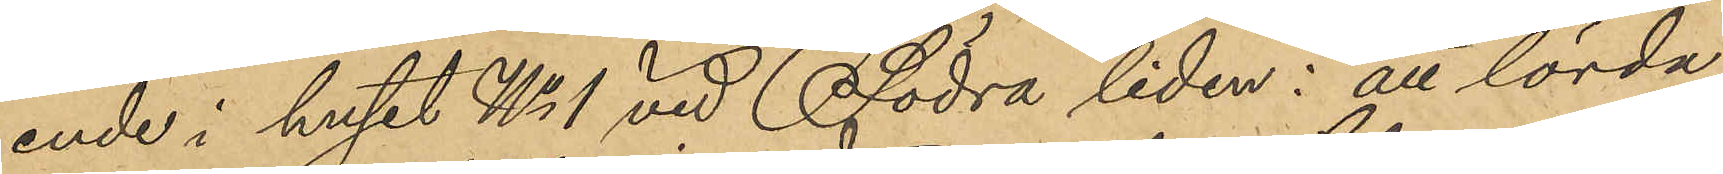ende i huset No 1 vid Södra liden: att lörda¬
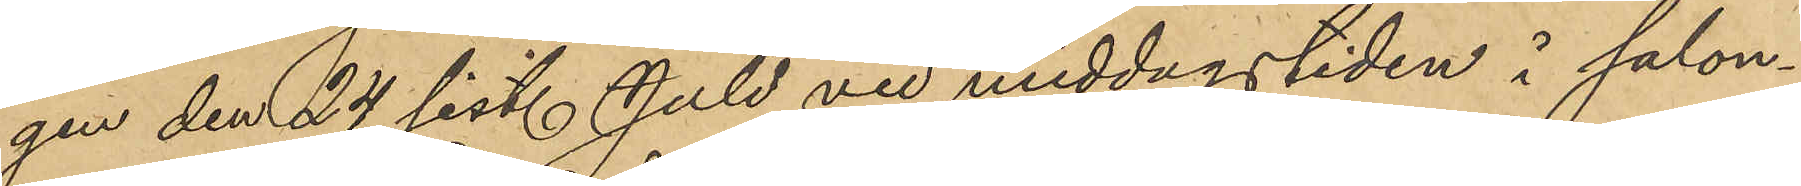gen den 24 sist. Juli vid middagstiden i salon¬
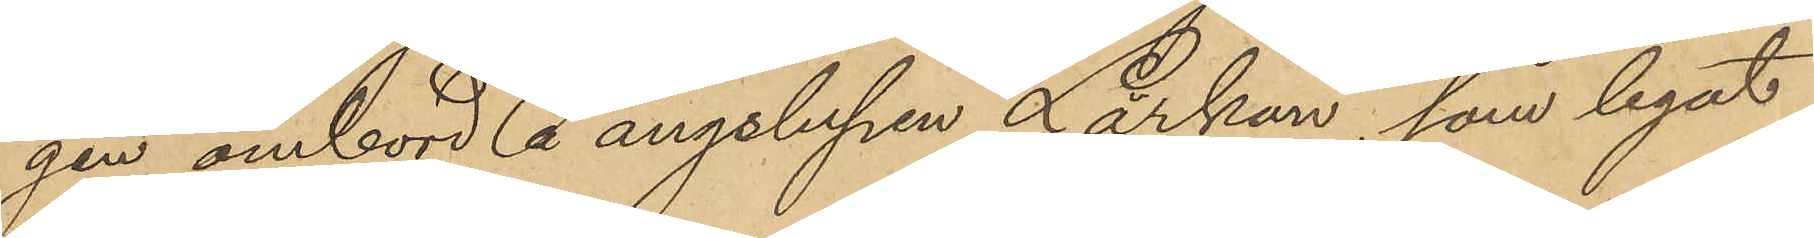gen ombord å ångslupen "Lärkan", som legat
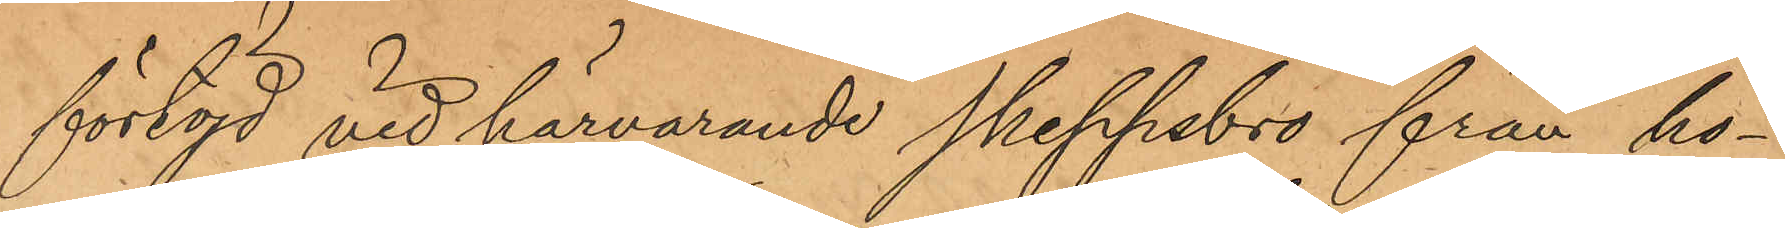förtöjd vid härvarande Skeppsbro från ho¬
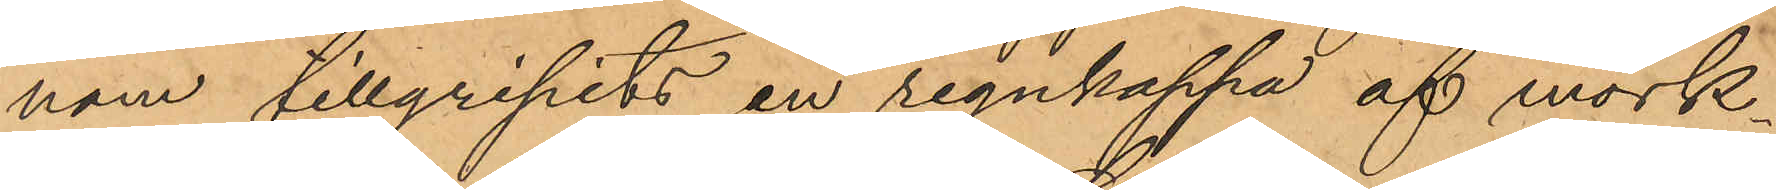nom tillgripits en regnkappa af mörk¬
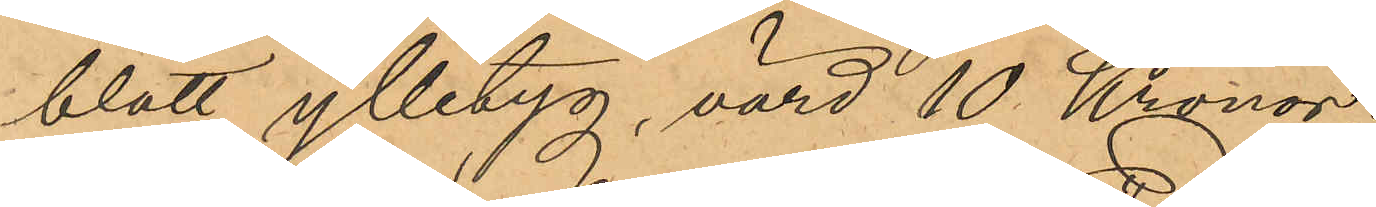blått ylletyg, värd 10 Kronor.
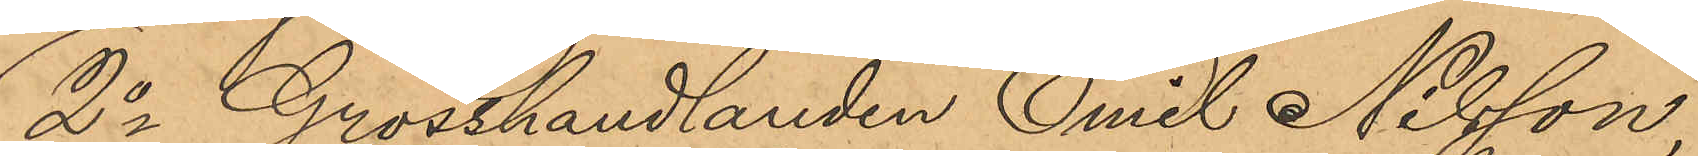2o Grosshandlanden Emil Nilsson,
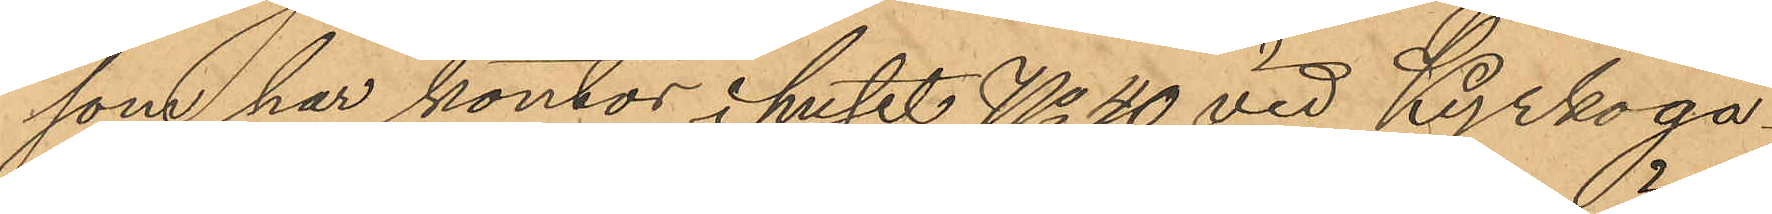som har kontor i huset No 40 vid Kyrkoga¬
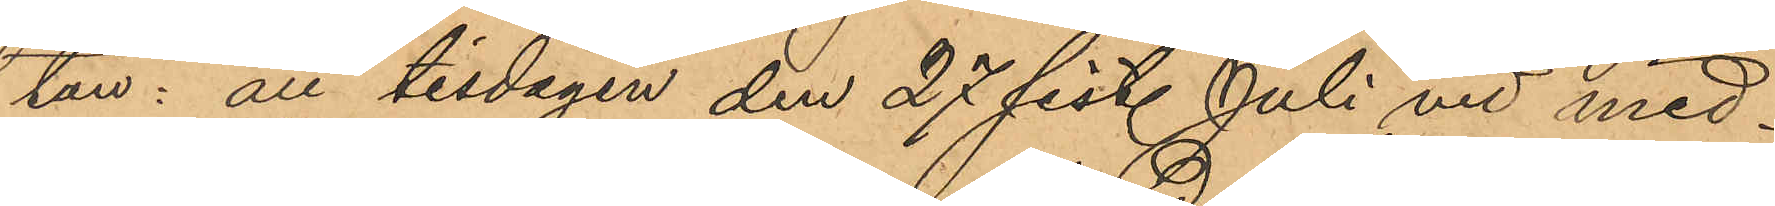tan: att tisdagen den 27 sist. Juli vid med¬
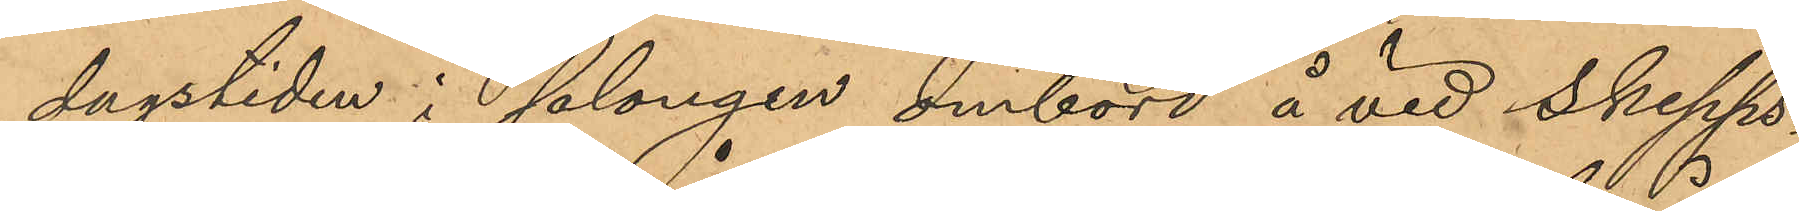dagstiden i salongen ombord å vid Skepps¬
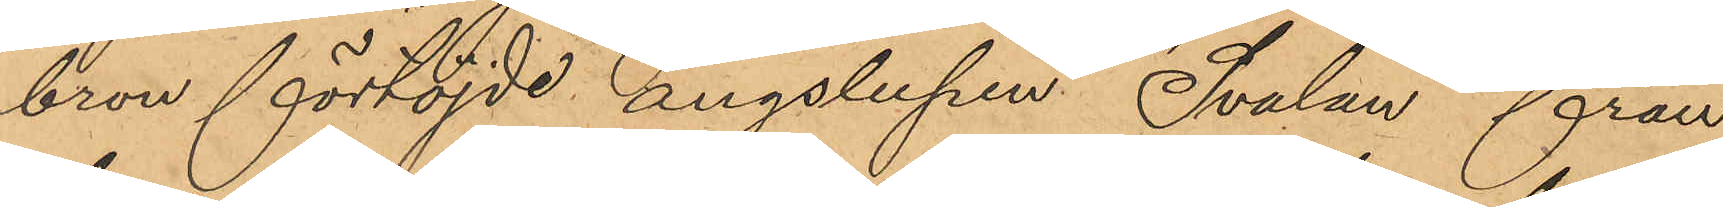bron förtöjde ångslupen "Svalan" från
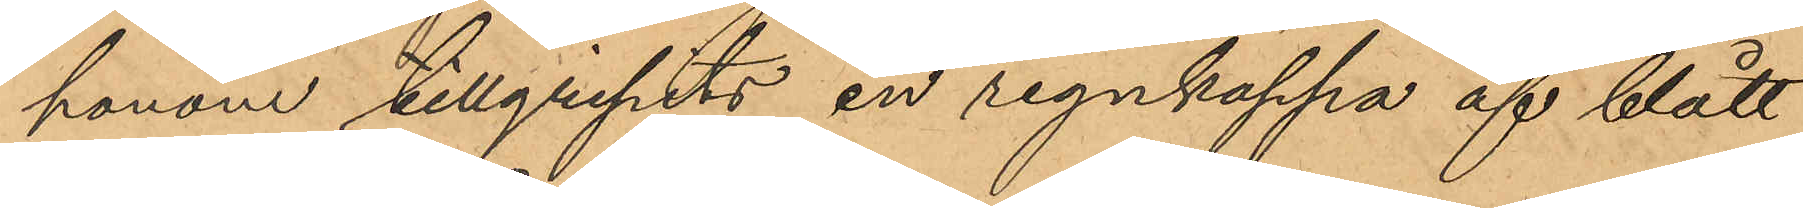honom tillgripits en regnkappa af blått
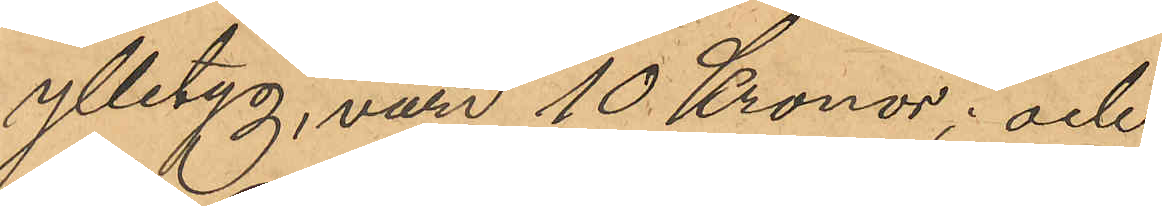ylletyg, värd 10 Kronor; och
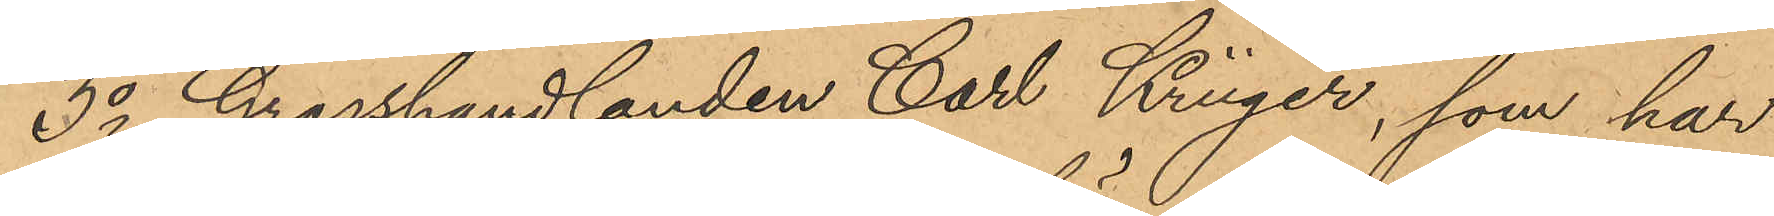3o Grosshandlanden Carl Krüger, som har
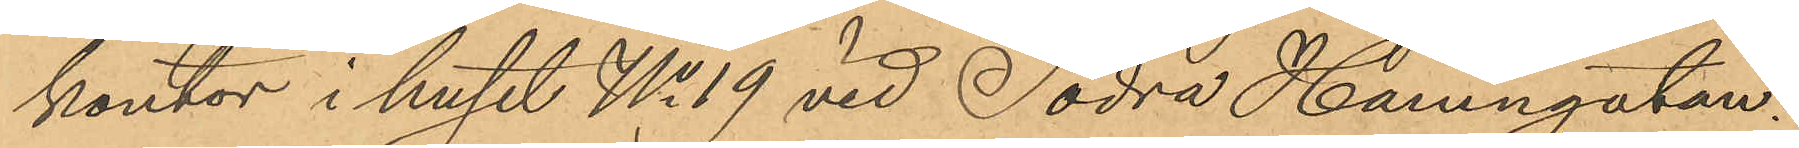kontor i huset No 19 vid Södra Hamngatan:
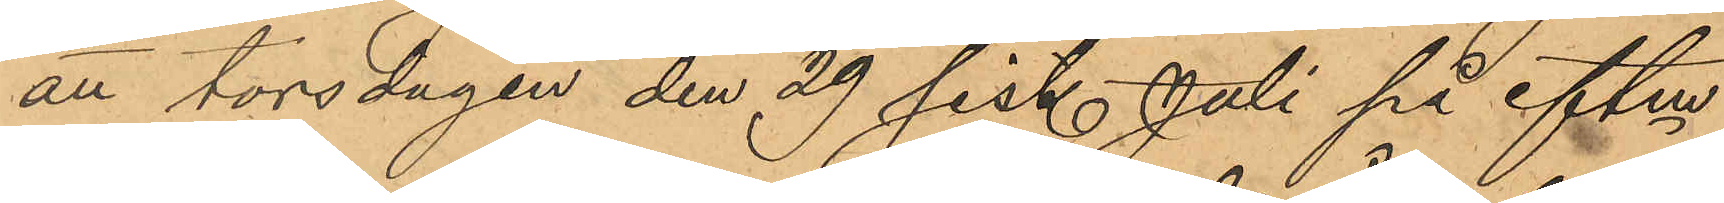att torsdagen den 29 sist. Juli på eftm
